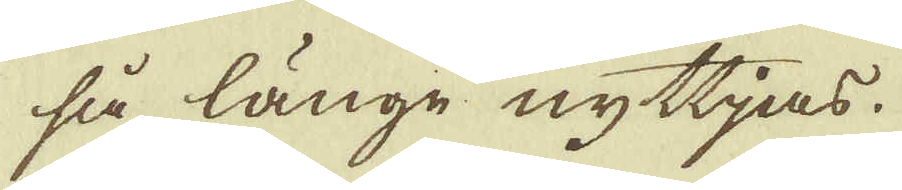så länge nyttjas.
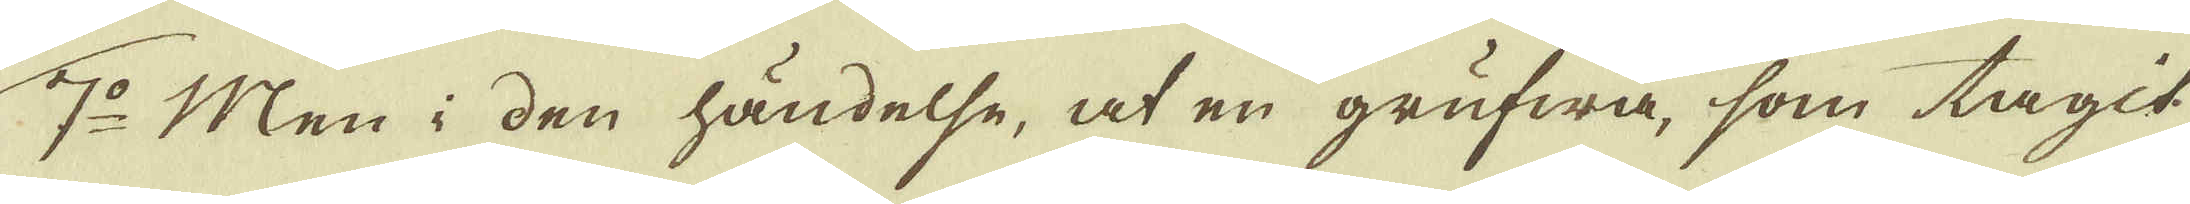7:o Men i den händelse, at en grufwa, som tagit
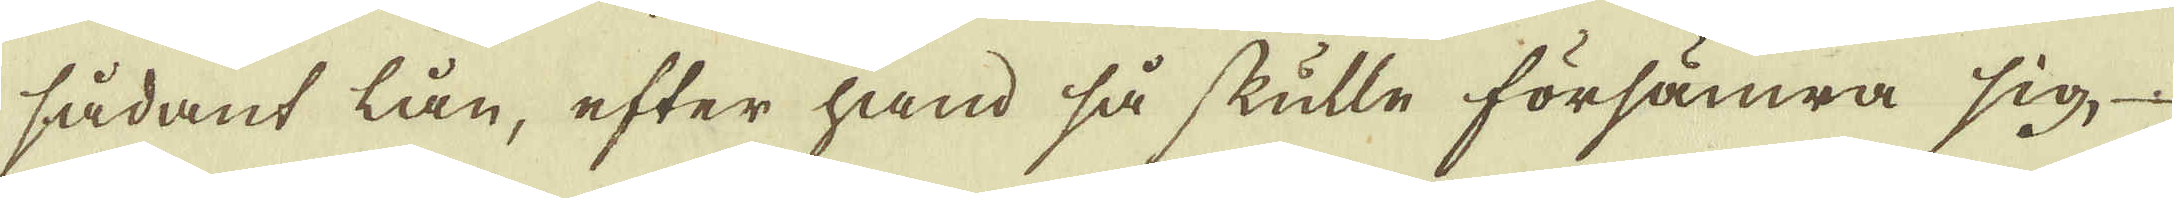sådant lån, efter hand så skulle försämra sig
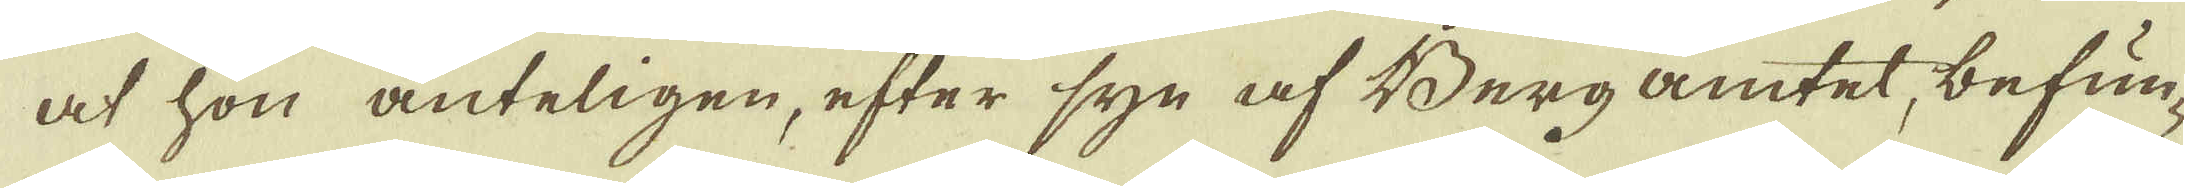at hon änteligen, efter syn af Bergamtet, befun-
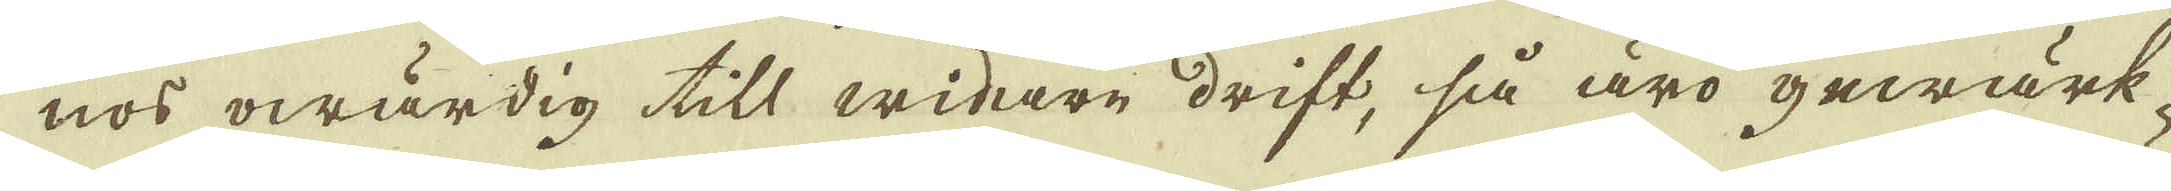nos owärdig till widare drift, så äro gewärk-
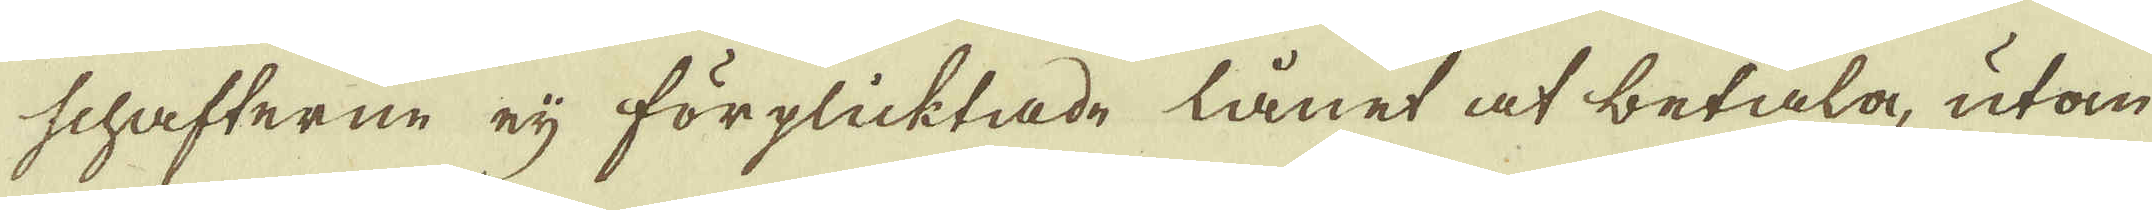schafterne eij förplicktade lånet at betala, utan
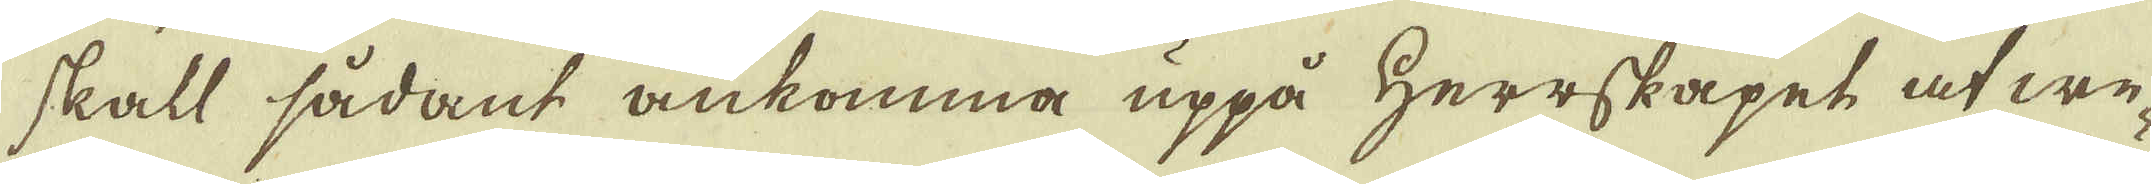skall sådant ankomma uppå Herrskapet at we-
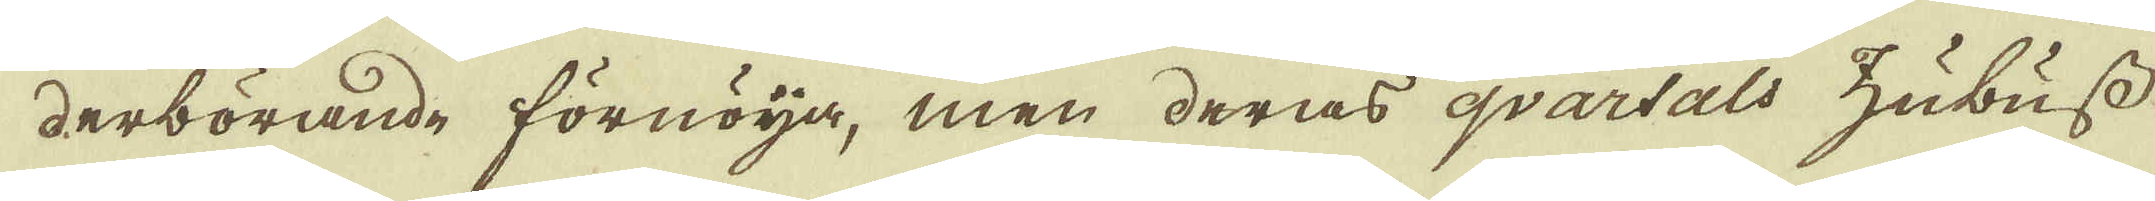derbörande förnöja, men deras qvartals hubuss
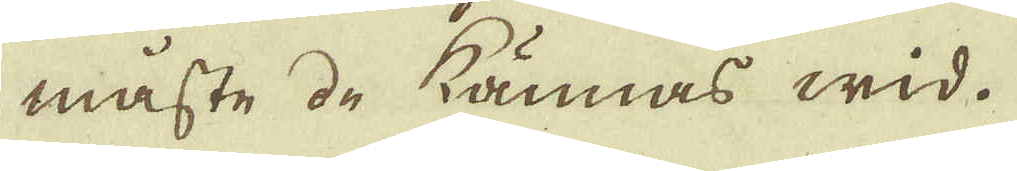måste de kännas wid.
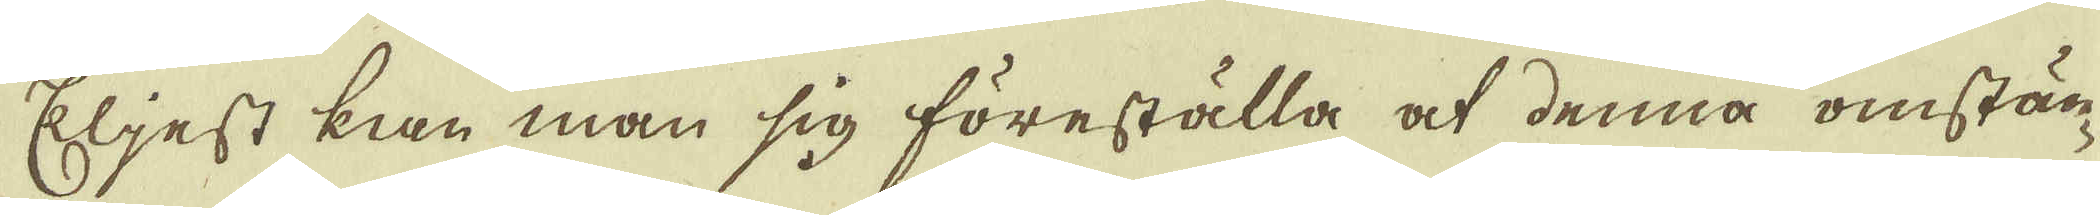Eljest kan man sig föreställa at denna omstän-
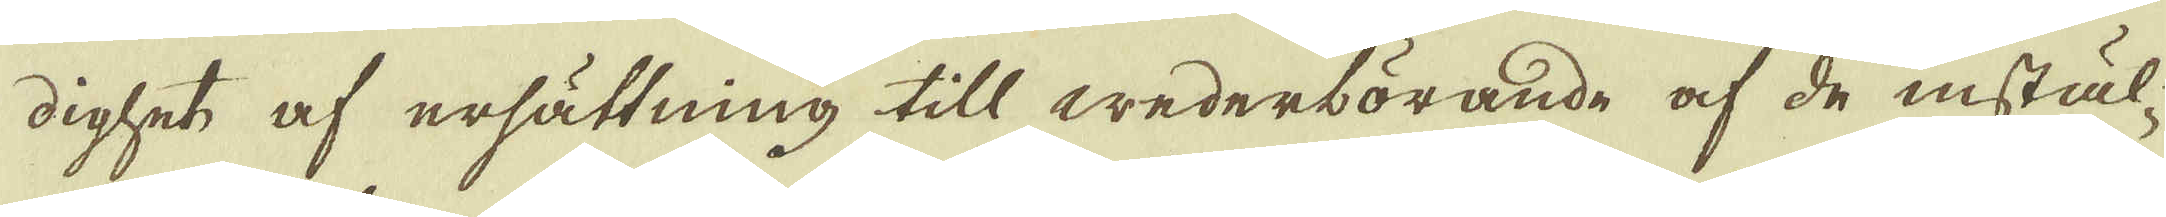dighet af ersättning till wederbörande af de instäl-
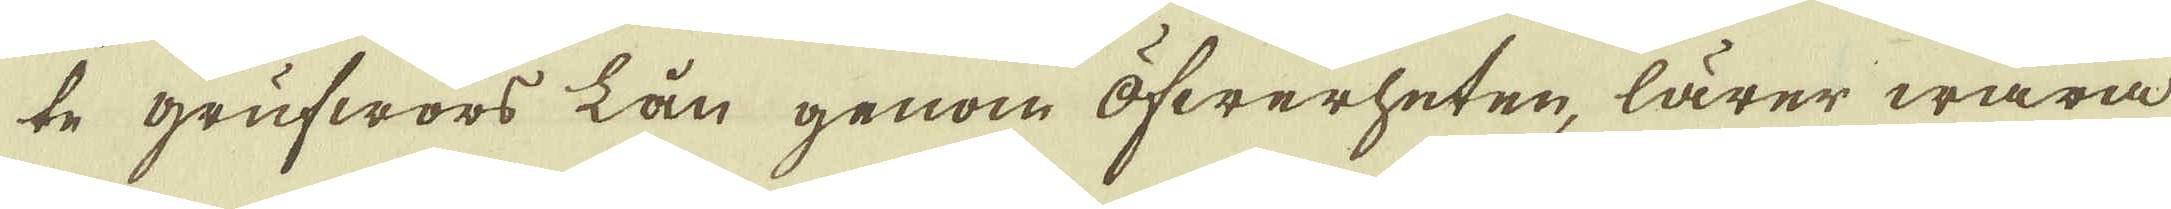te grufwors lån genom öfwerheten, lärer wara
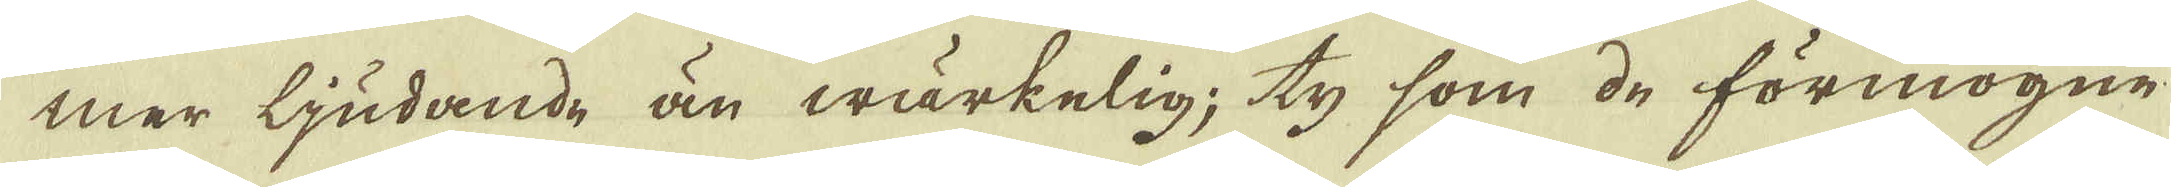mer ljudande än wärkelig; ty som de förmögne
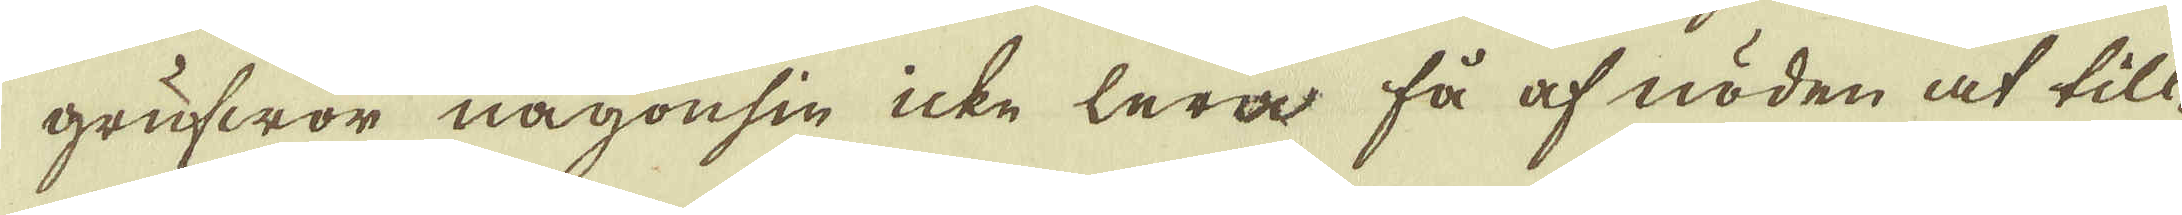grufwor någonsin icke lera få af nöden at till-
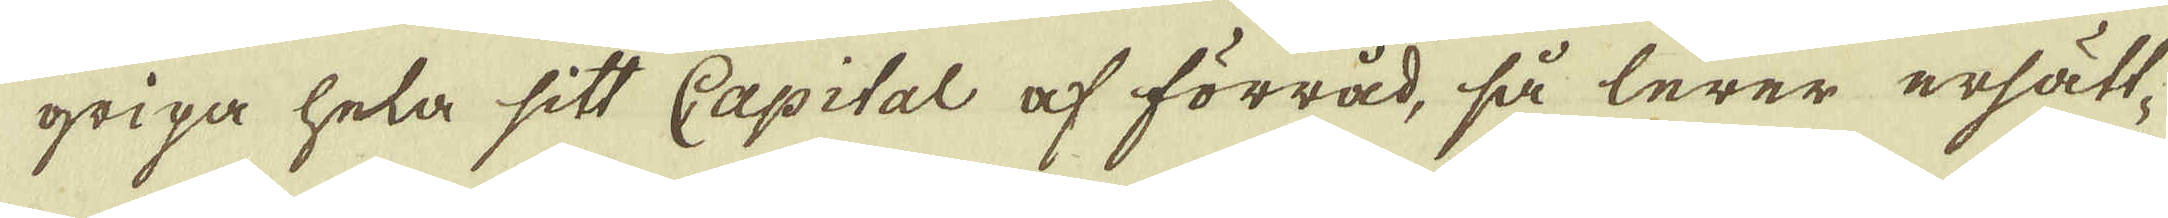gripa hela sitt Capital af förråd, så lerer ersätt-
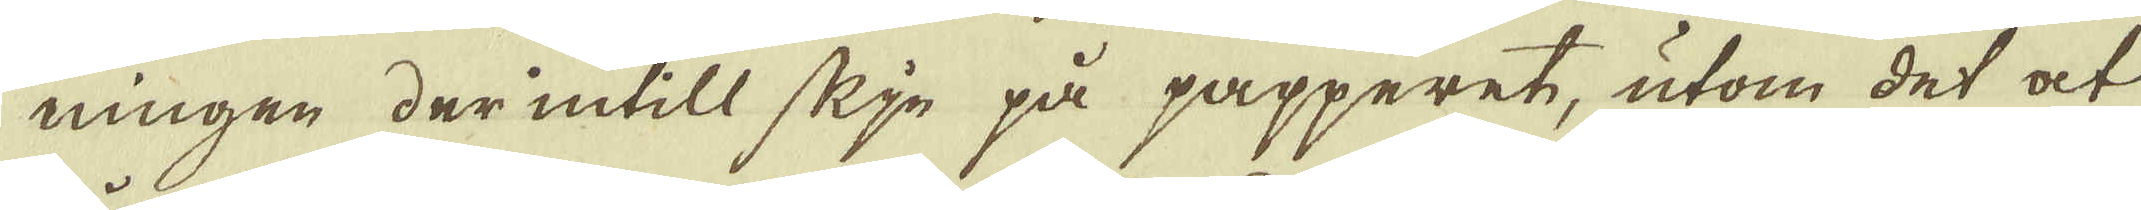ningen der intill skje på papperet, utom det at
